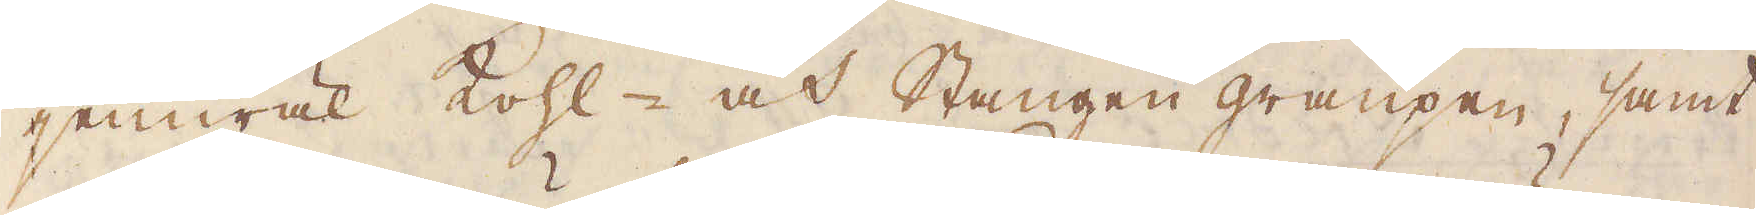jemwäl kohl- och Stangen graupen, samt
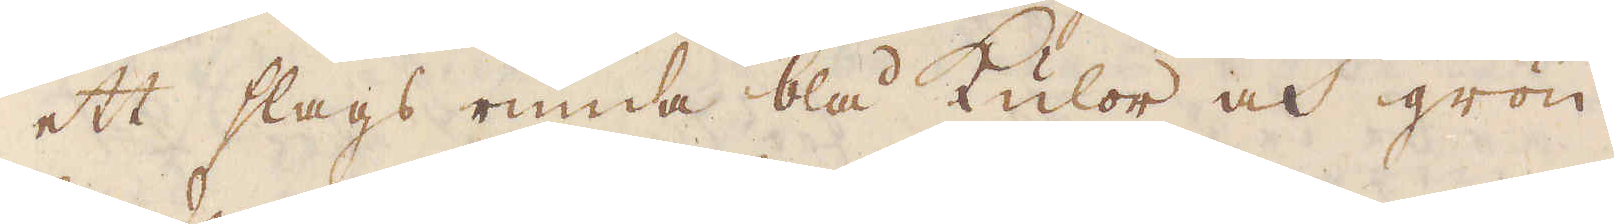ett slags runda blå kulor och grön
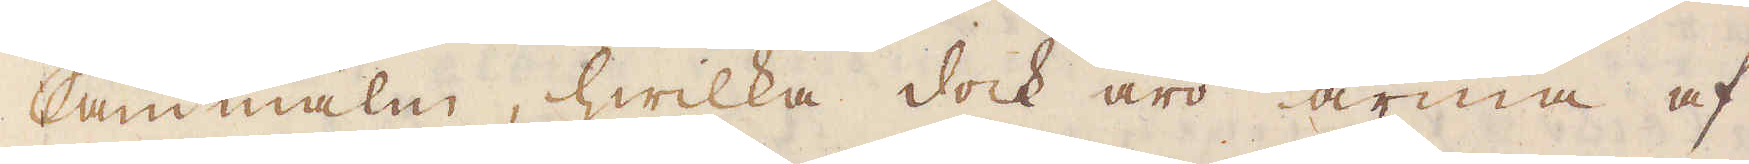sandmalm, hwilka dock äro arma af
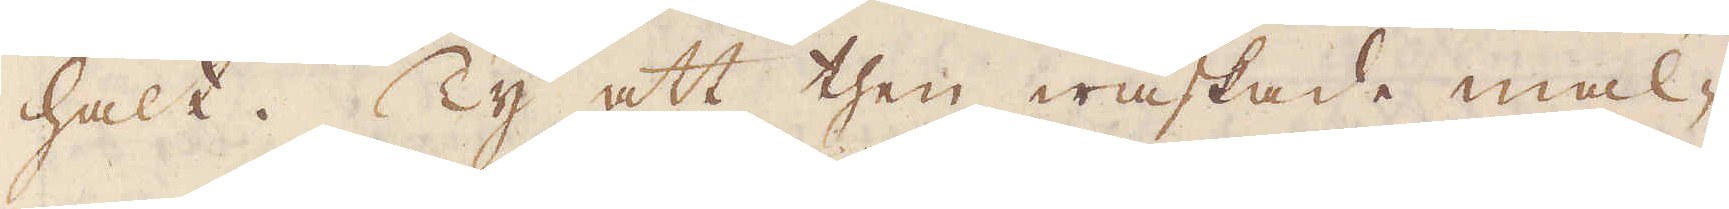halt. Ty att then waskade mal-
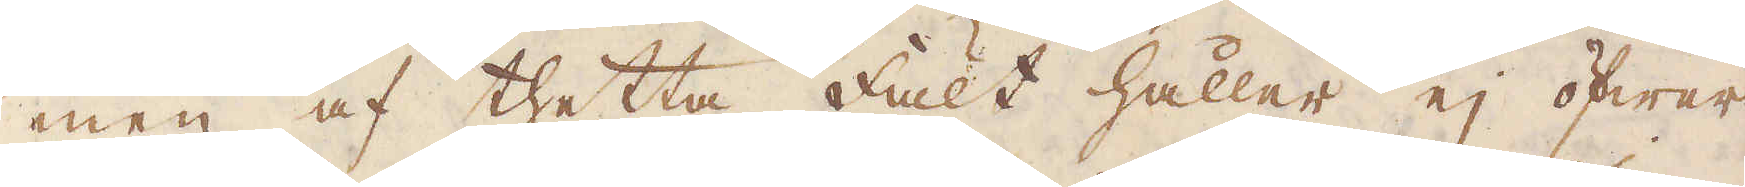men af thetta fält håller ej öfwer
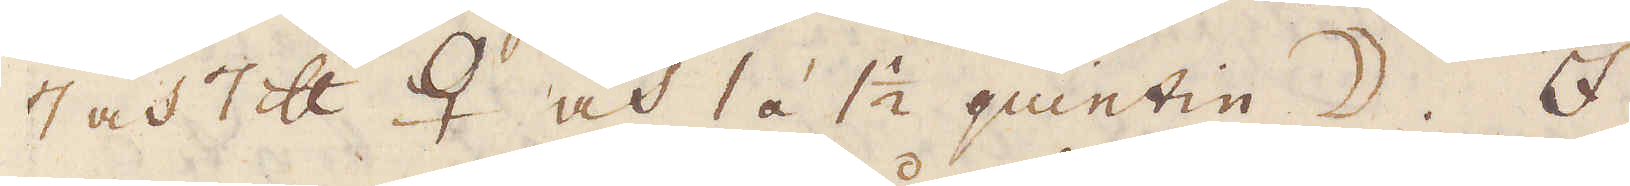7 och 7 skålpund ♀ och 1 á 1 1/2 quintin ☽. I
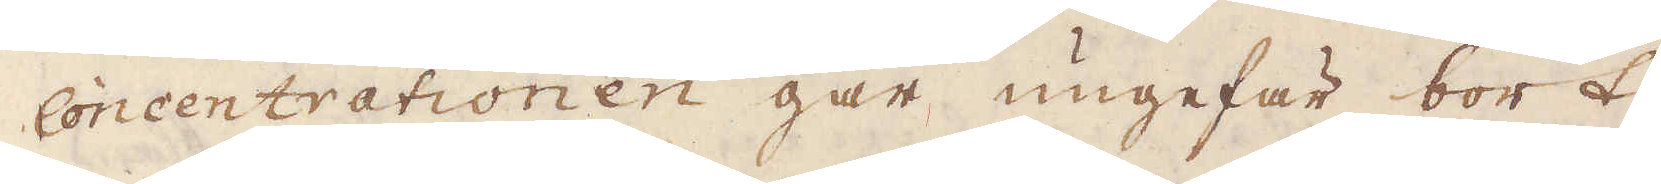Concentrationen går ungefär bort
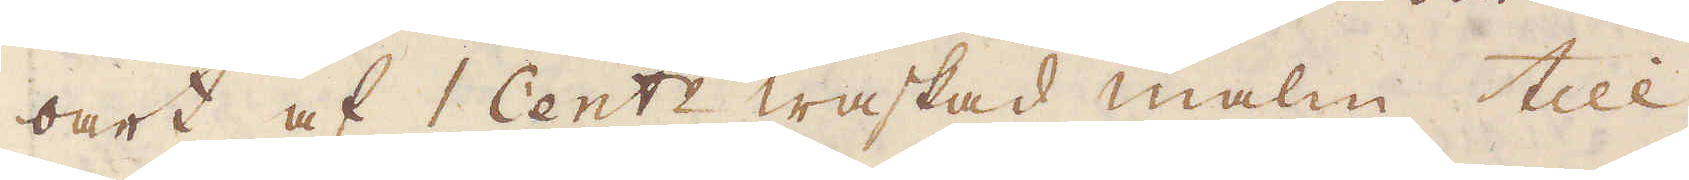oart af 1 Cent:r waskad malm till
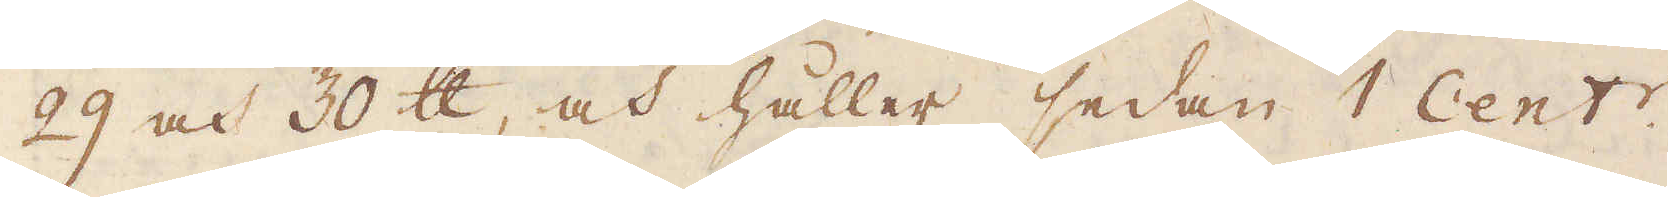29 och 30 skålpund, och håller sedan 1 Cent:r.
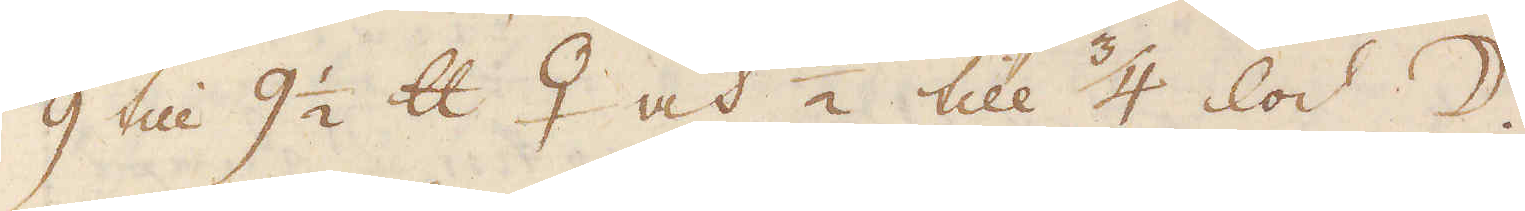9 till 9 1/2 skålpund ♀ och 1/2 till 3/4 lod ☽.
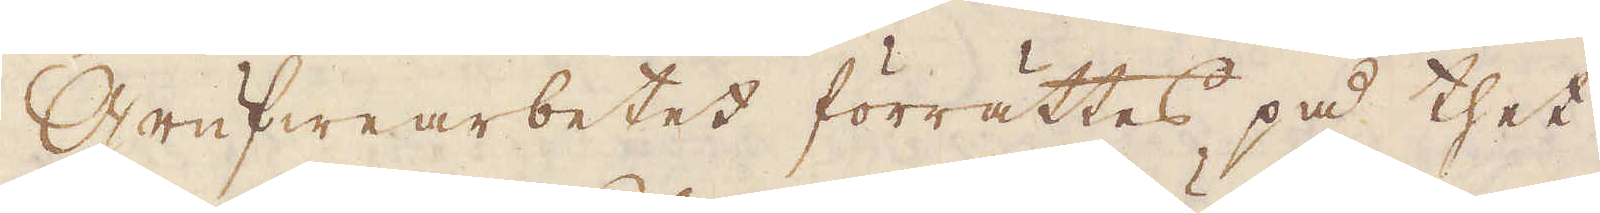Grufwearbetet förrättes på thet
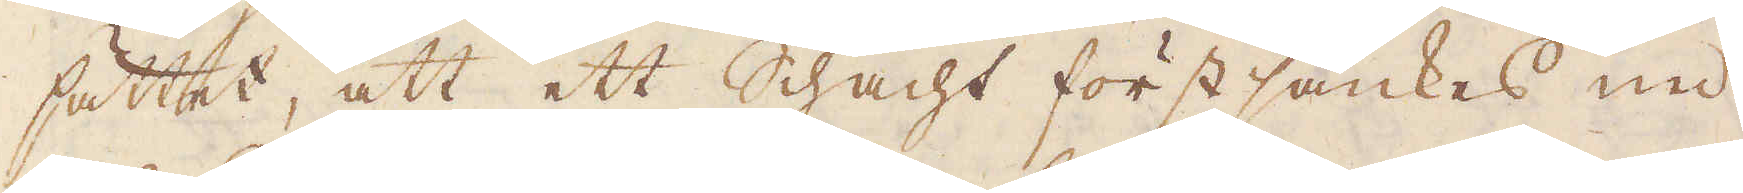sättet, att ett Schacht först sänkes ned
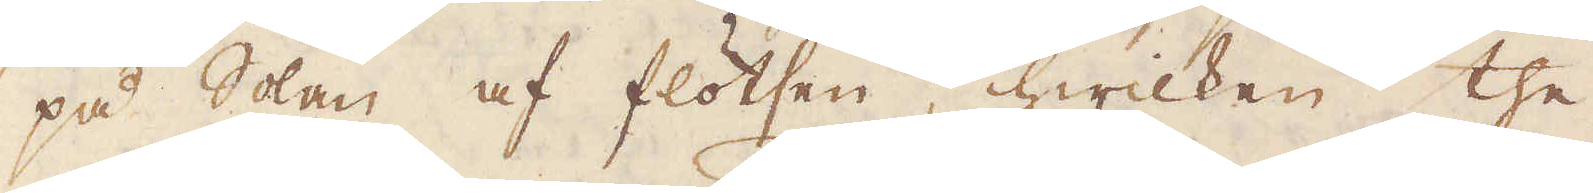på solan af flötsen, hwilken the
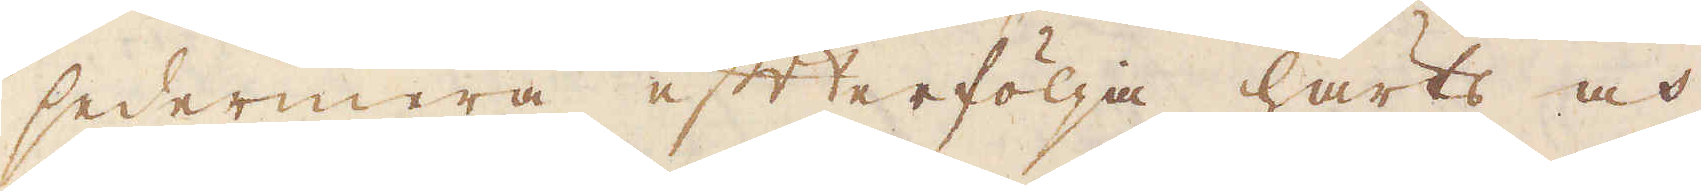sedermera efterfölja härts och
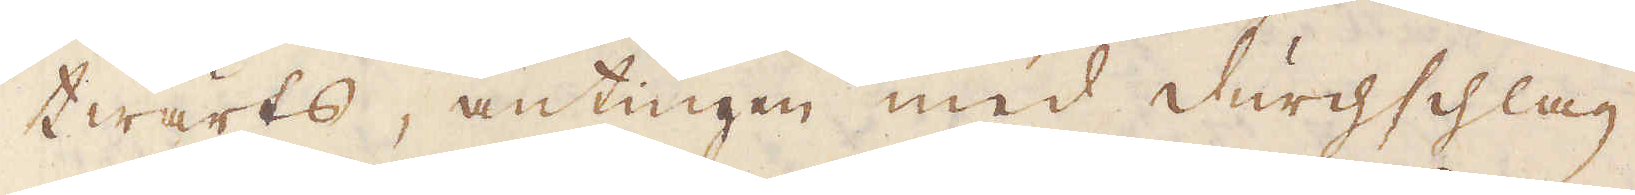twärts, antingen med durchschlag
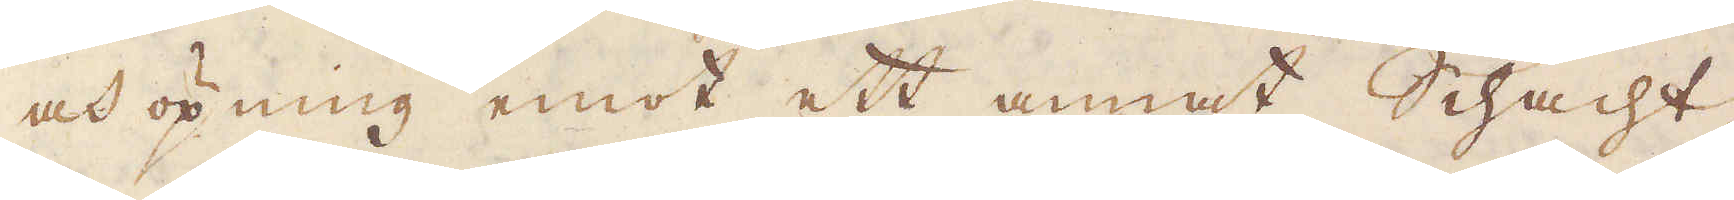och öpning emot ett annat Schacht
